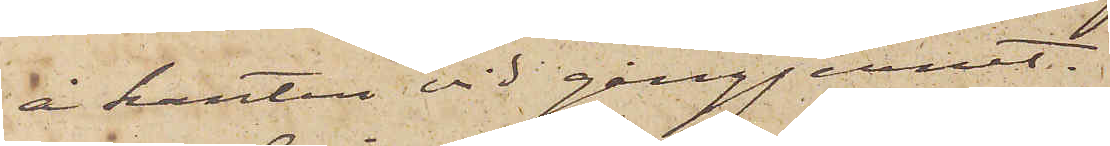å kanten vid gångjernet.
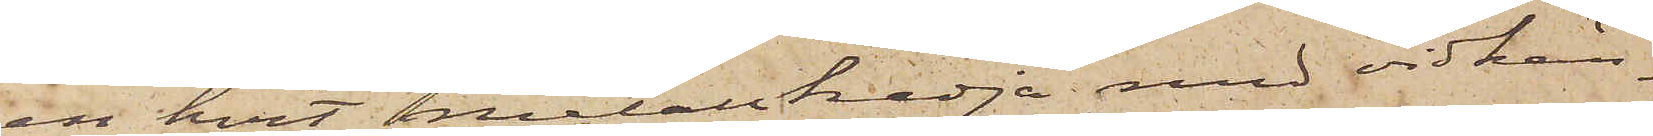en hvit metallkedja med vidhän¬
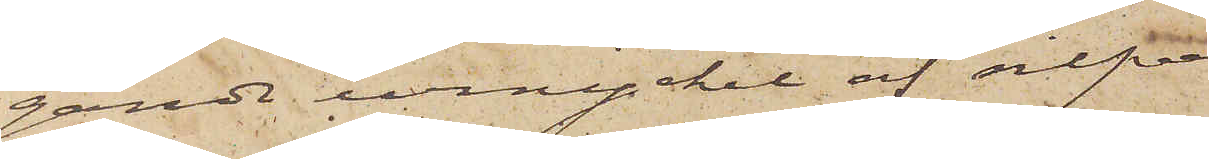gande urnyckel af silfver
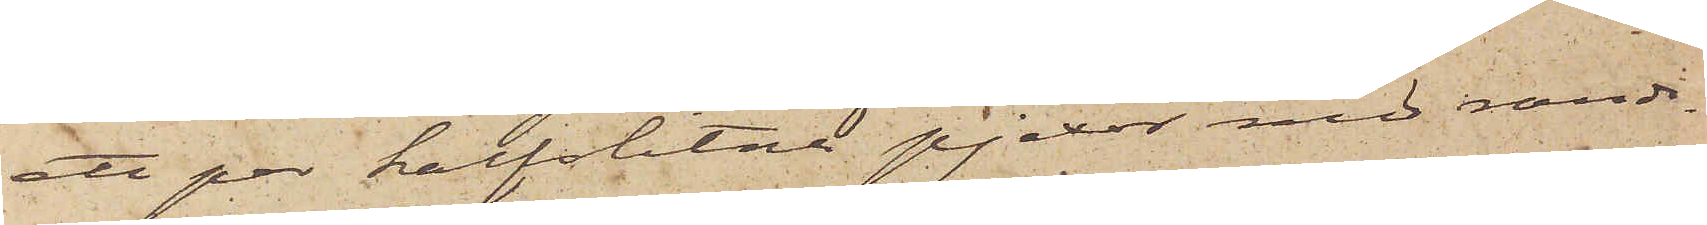ett par halfslitna pjexor med randi¬
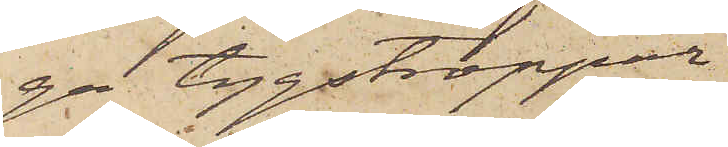ga tygstroppar
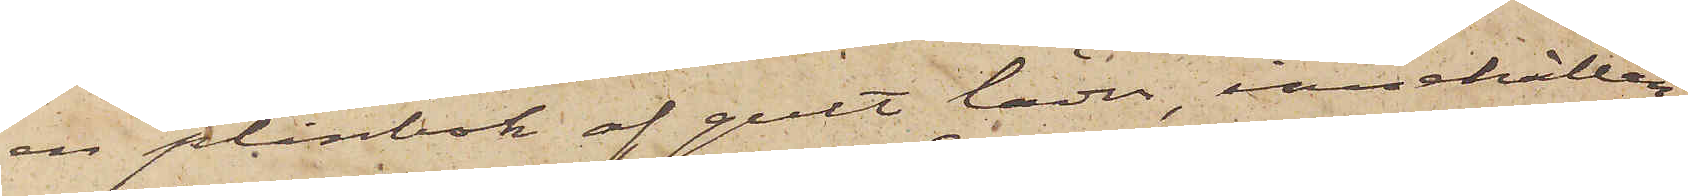en plånbok af gult läder, innehållan¬
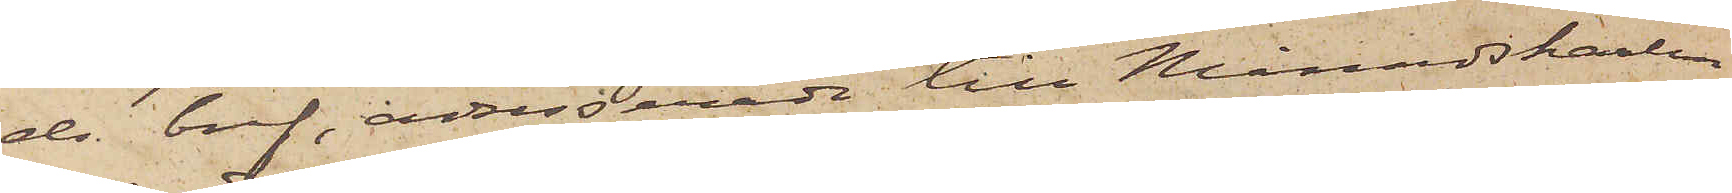de bref, adresserade till Månadskarlen
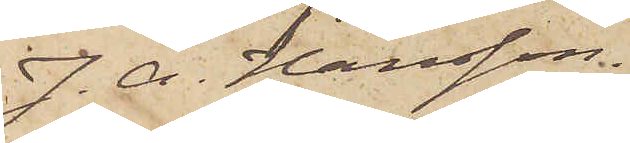J. A. Hansson.
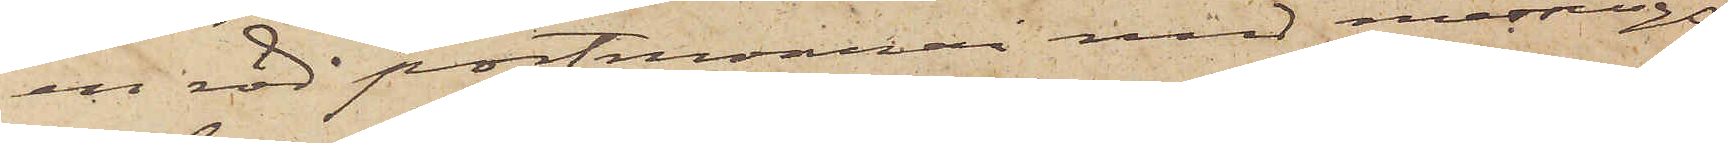en röd portmonnai med messings¬
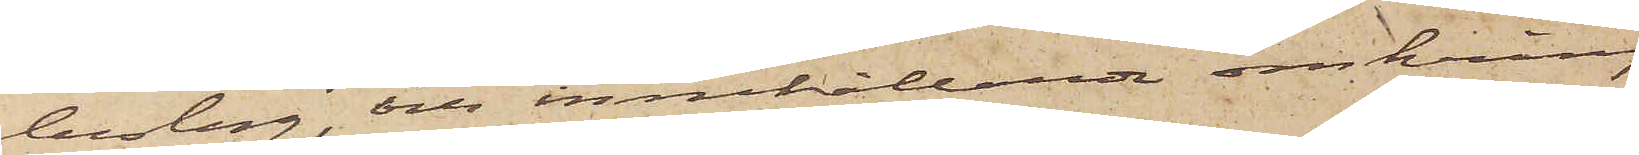beslag, och innehållande omkring
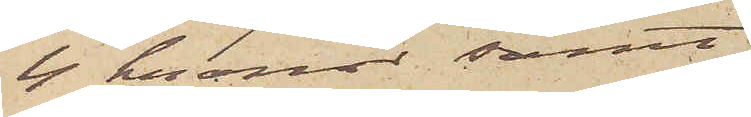4 kronor samt
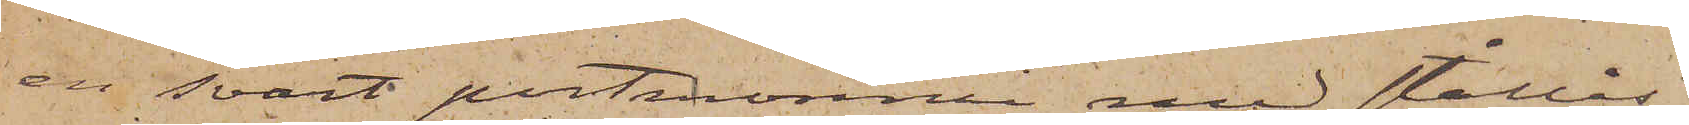en svart portmonnai med stållås
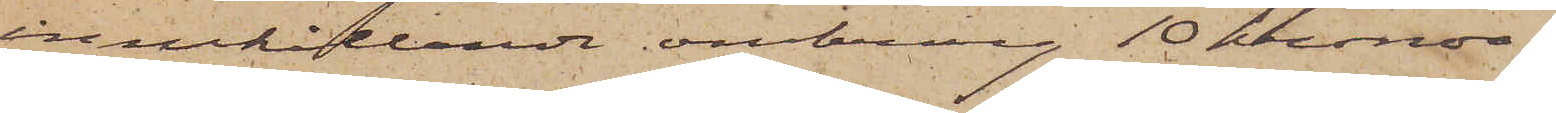innehållande omkring 10 kronor.
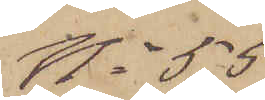No 55
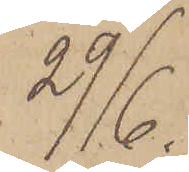29/6.
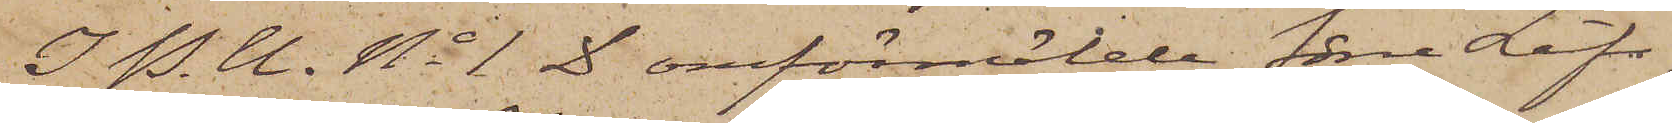I P. U. No 1 D omförmälde förre Lifs¬
